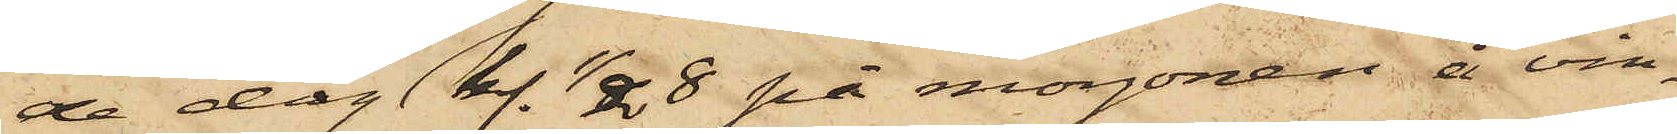de dag kl. 1/2 8 på morgonen å vin¬
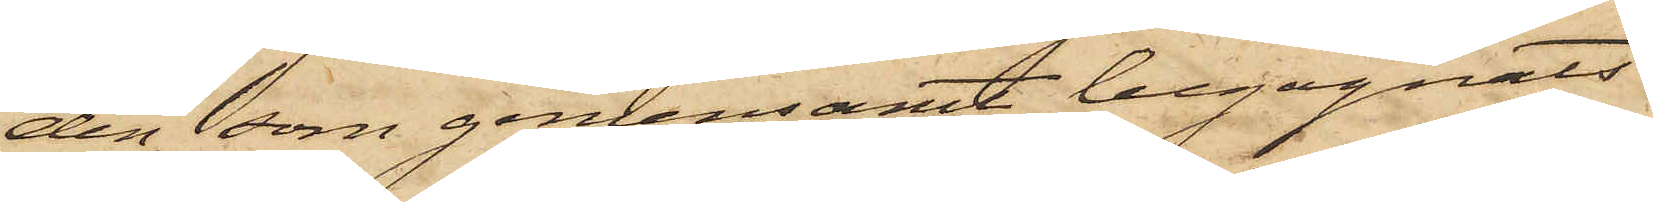den, som gemensamt begagnats
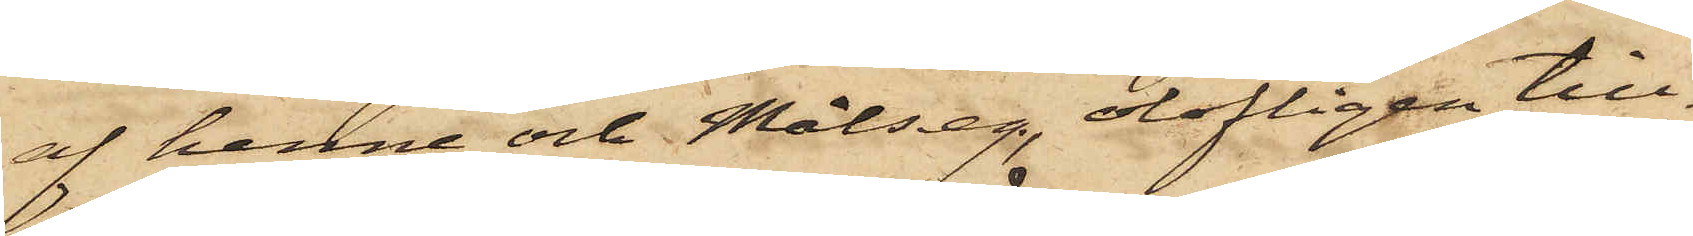af henne och Målseg., olofligen till¬
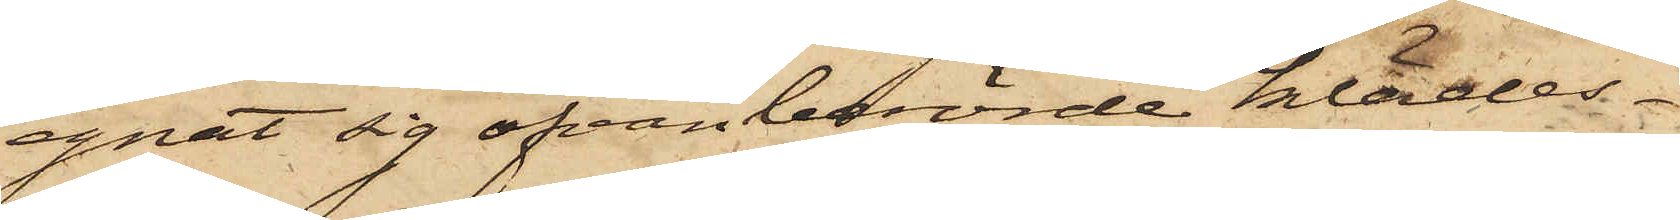egnat sig ofvanberörde klädes¬
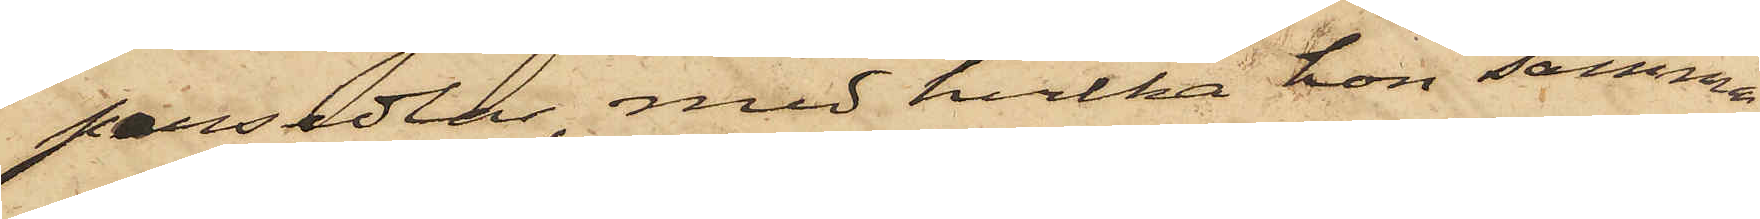persedlar, med hvilka hon samma
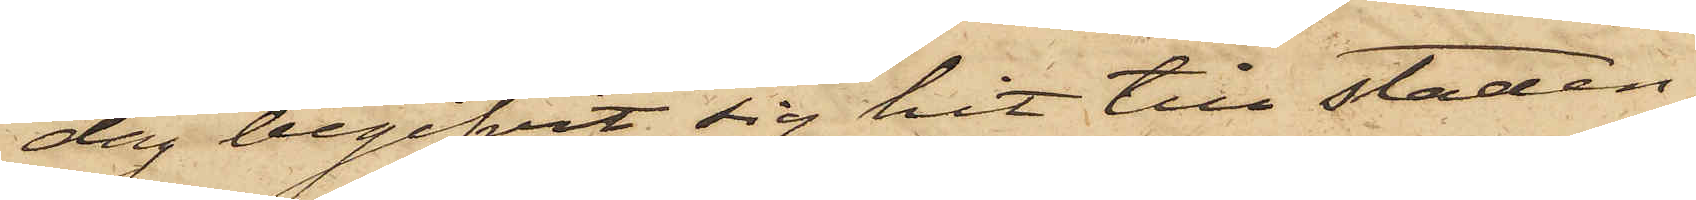dag begifvit sig hit till staden,
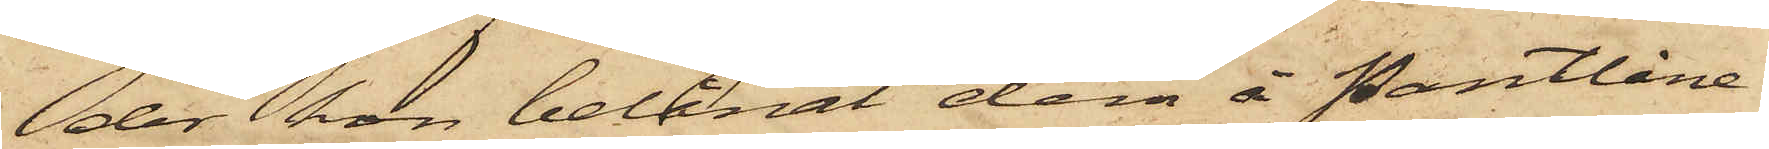der hon belånat dem å Pantlåne¬
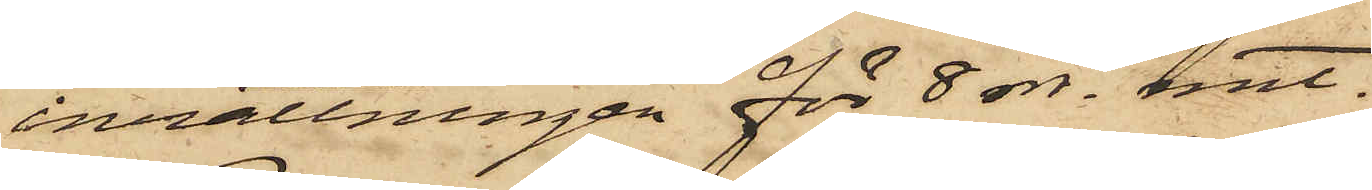inrättningen för 8 rdr. rmt.
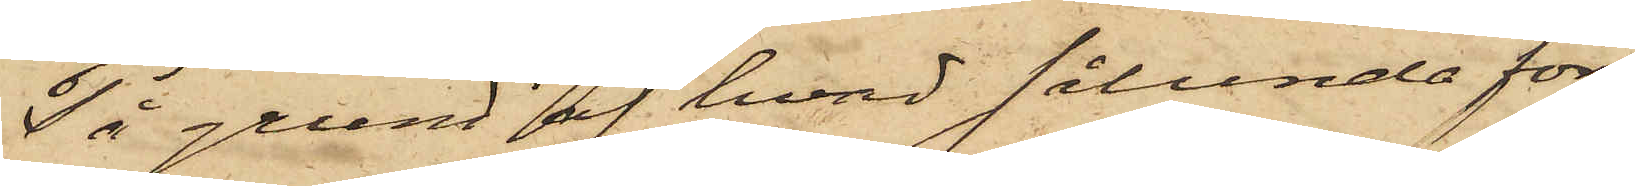På grund af hvad sålunda före¬
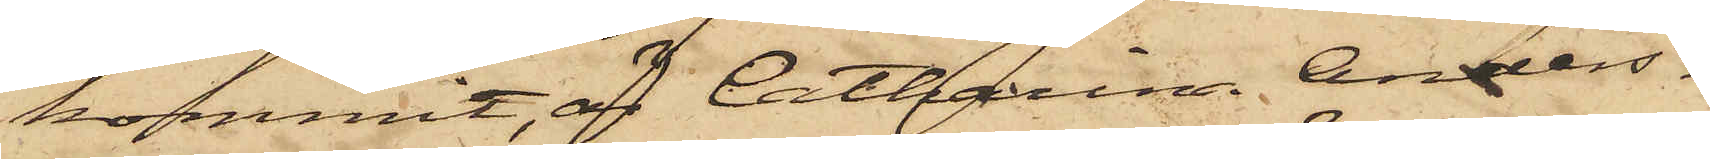kommit, är Catharina Anders¬
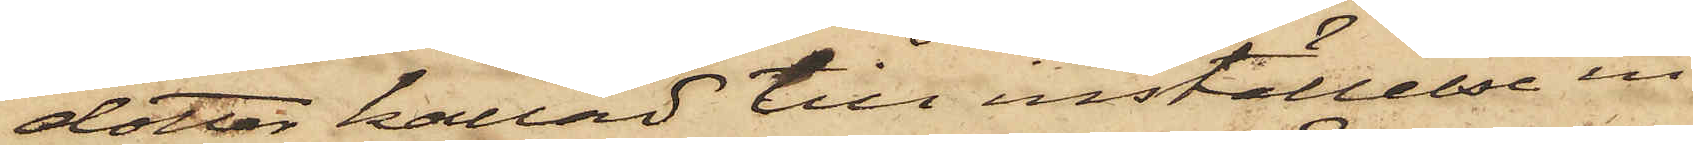dotter kallad till inställelse in¬
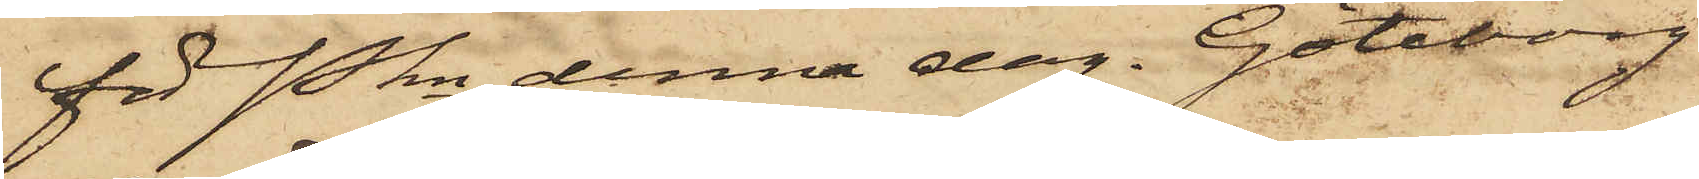för Pkn denna dag. Göteborg
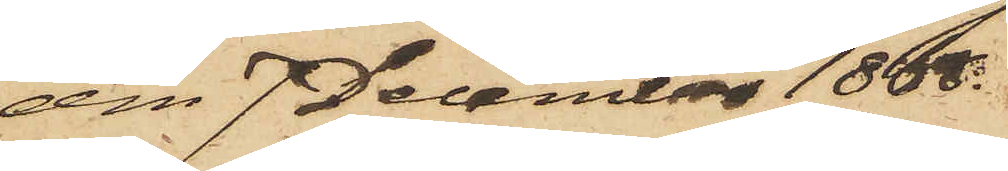den 7 December 1868.
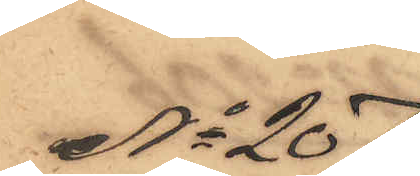No 207.
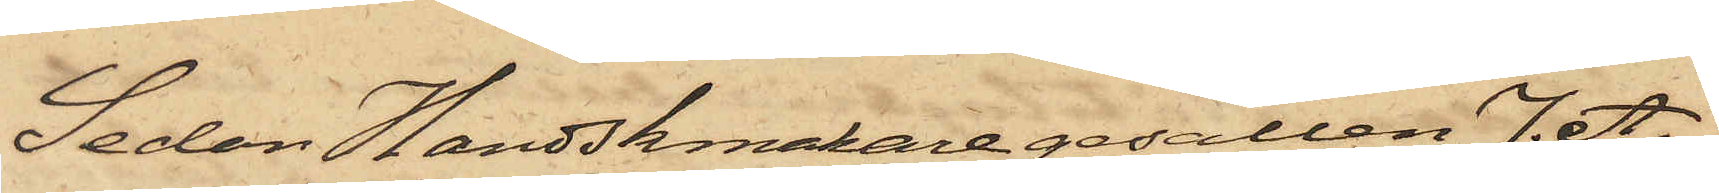Sedan Handskmakaregesällen J. A.
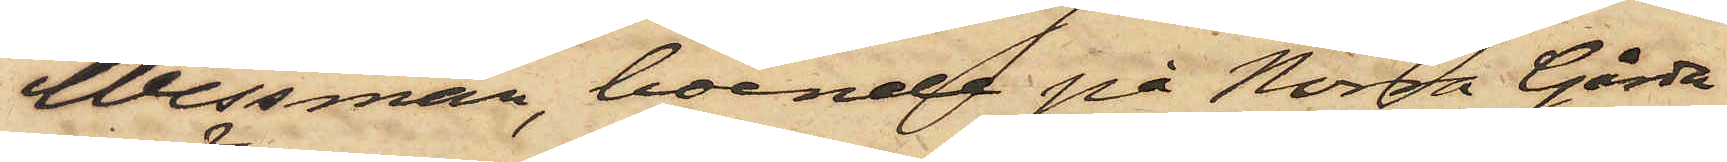Wessman, boende på Norra Gårda
